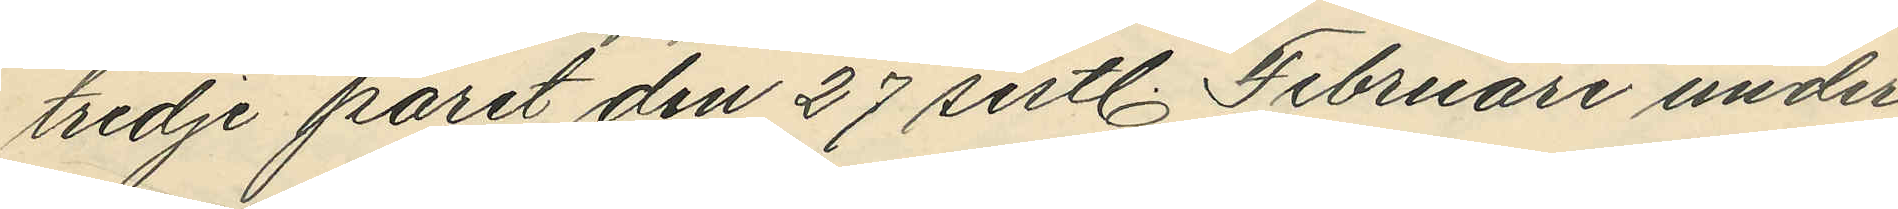tredje part den 27 sistl. Februari under
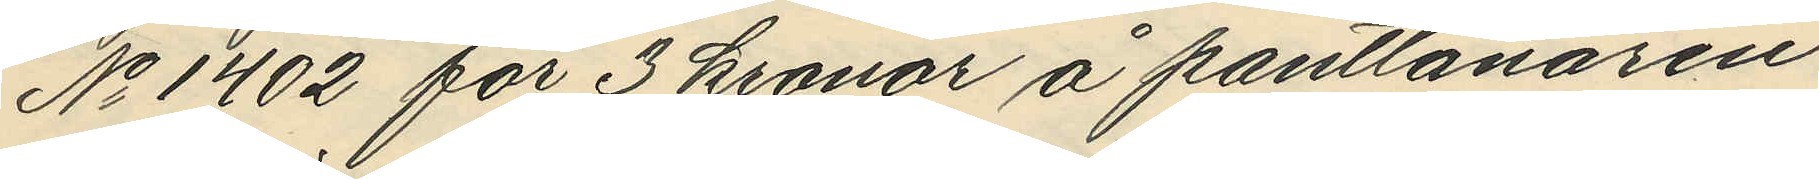No 1402 för 3 kronor å pantlånaren
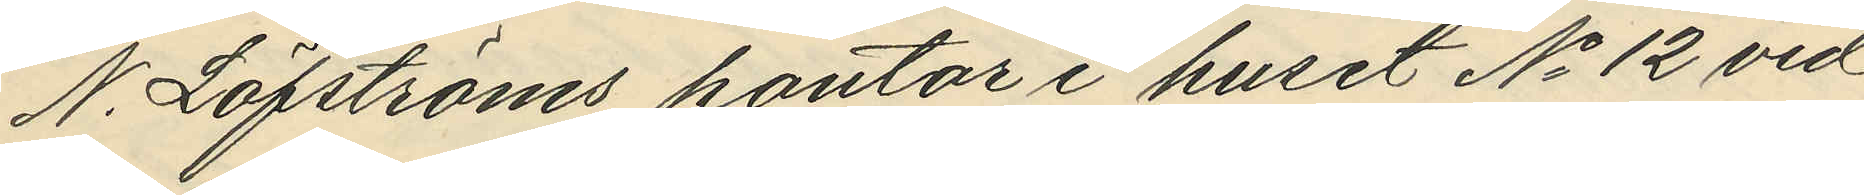N. Löfströms kontor i huset No 12 vid
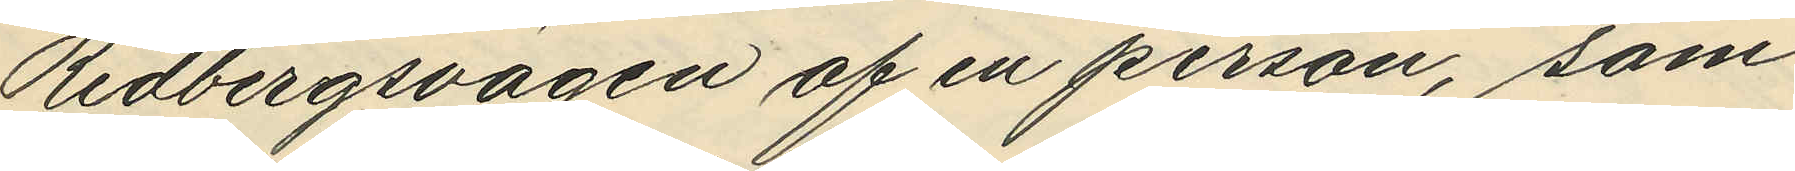Redbergsvägen af en person, som
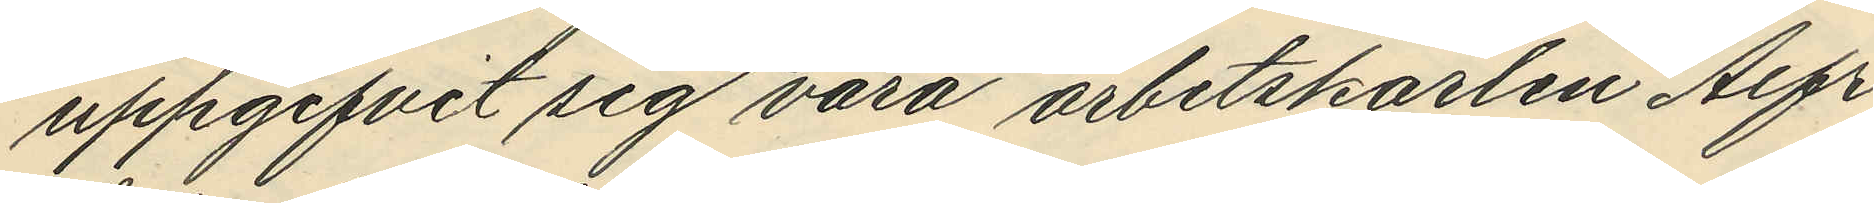uppgifvit sig vara arbetskarlen Alfr.
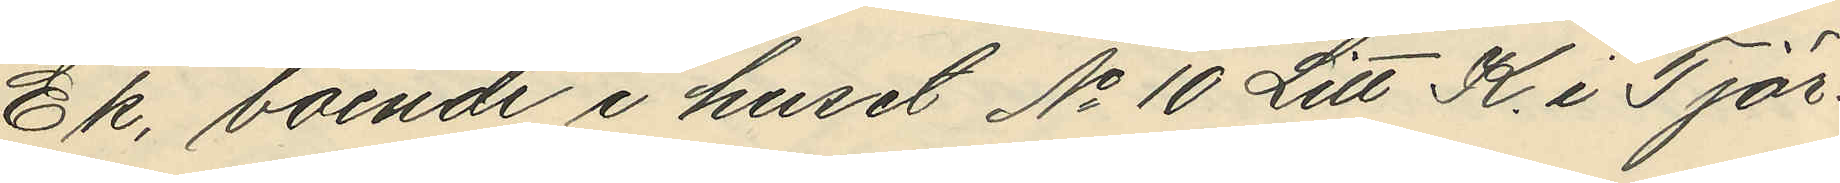Ek, boende i huset No 10 Litt K. i Tjör¬
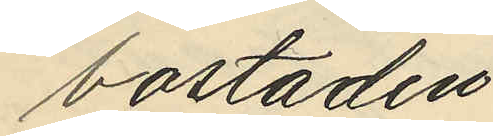bostaden.
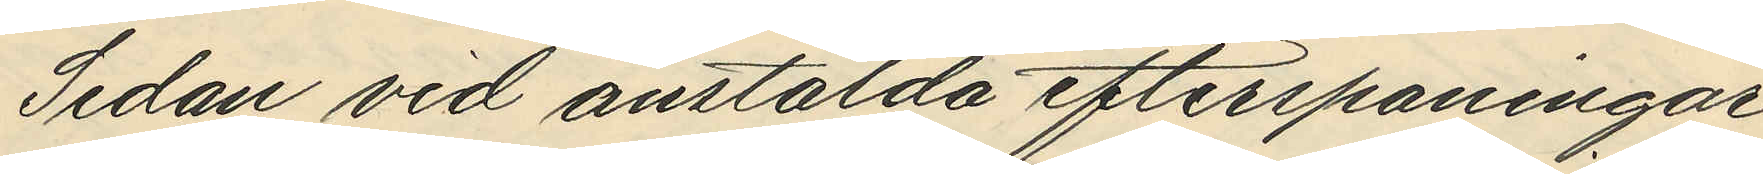Sedan vid anstälda efterspaningar
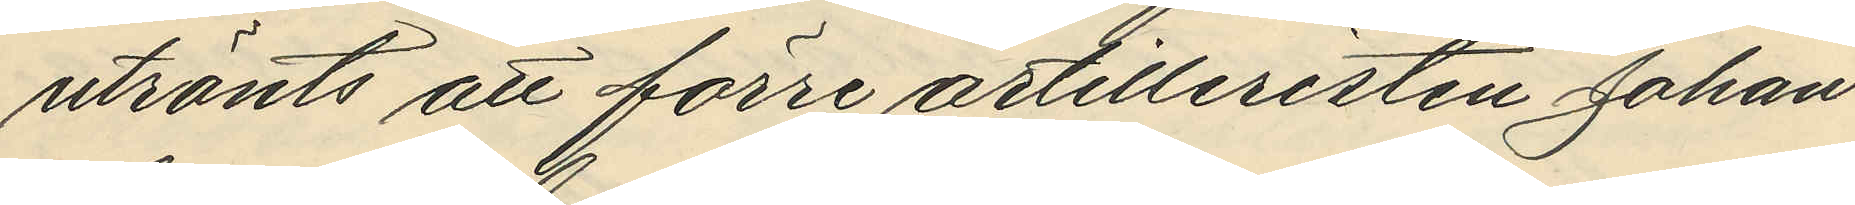utränts att förre artilleristen Johan
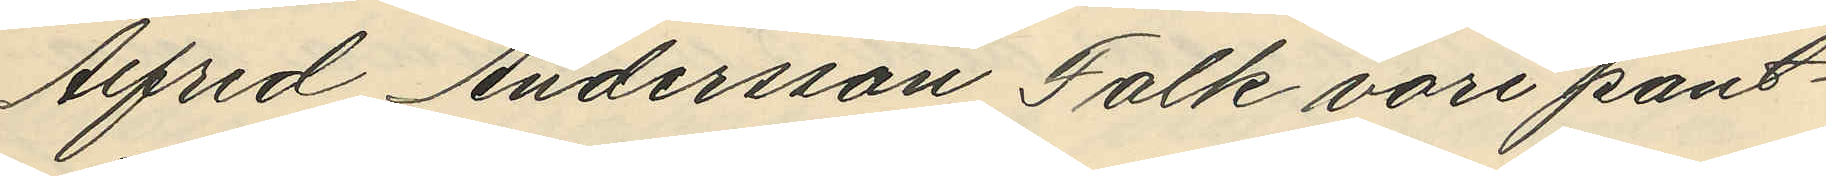Alfred Andersson Falk vore pant¬
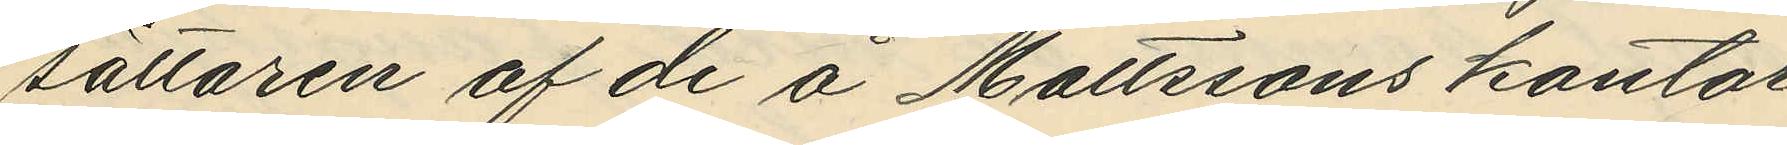sättaren af de å Mattssons kontor
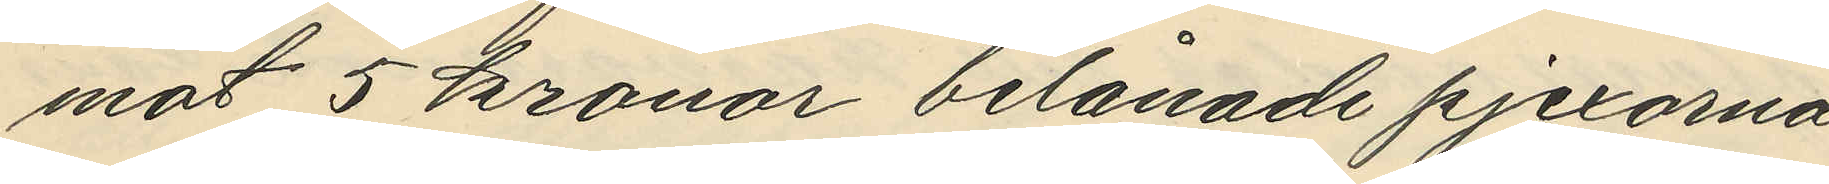mot 5 kronor belånade pjexorna
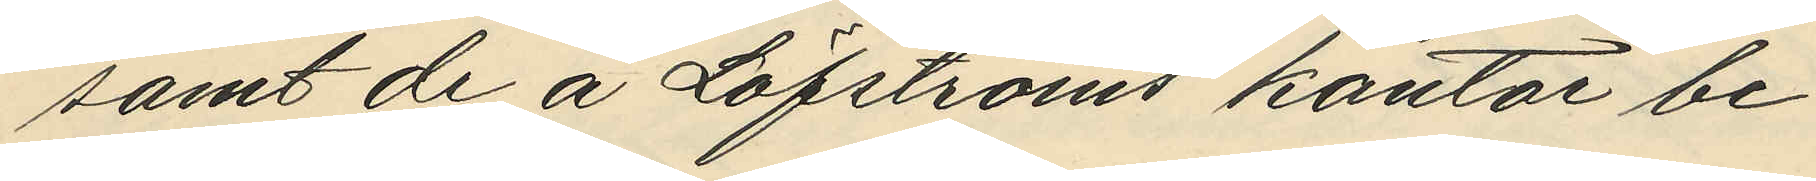samt de å Löfströms kontor be¬ 
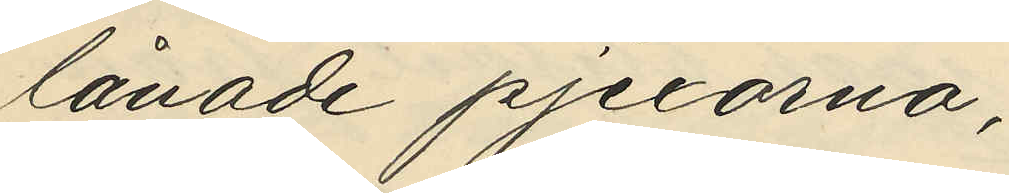lånade pjexorna;
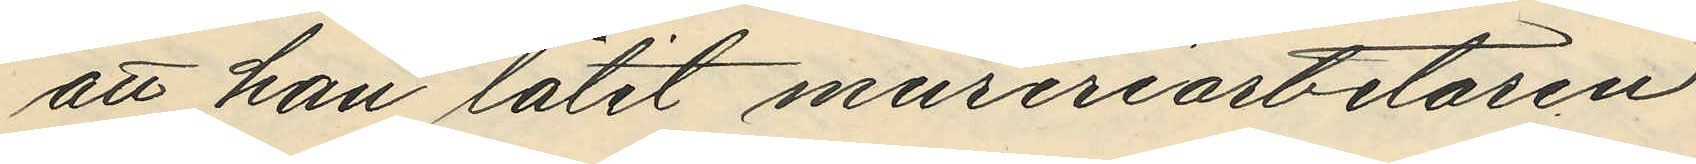att kan låtit mureriarbetaren
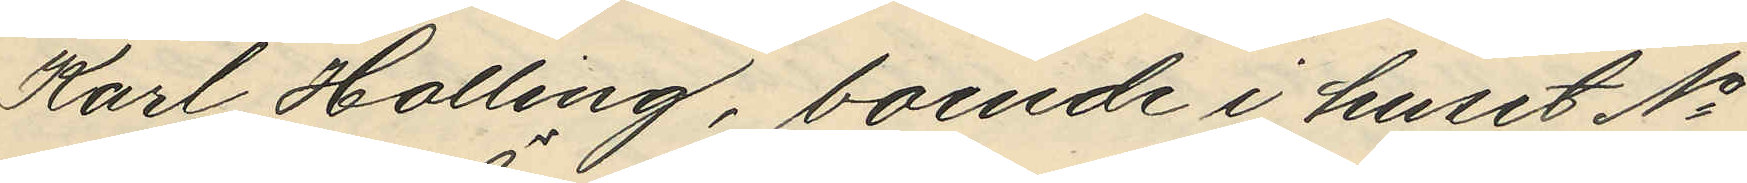Karl Halling, boende i huset No
